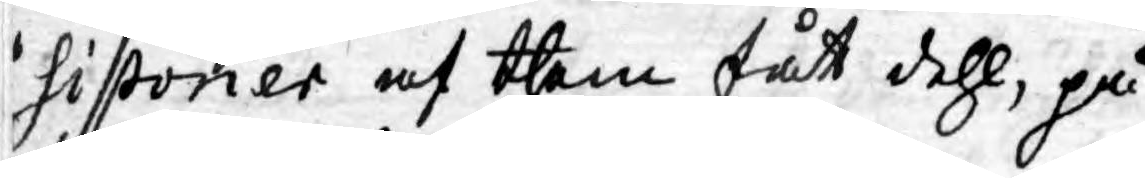sistorier af them fått dehl, på
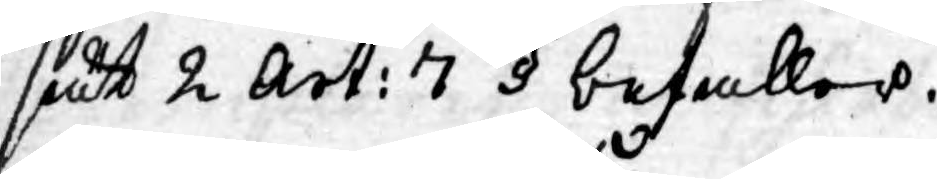sätt 2 Art: 7 § befaller.
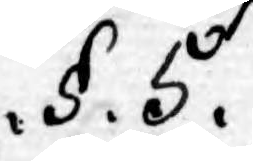.§. 5.
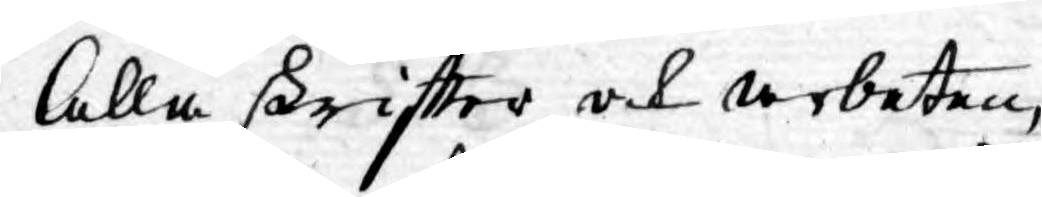Alla skriftter och arbeten,
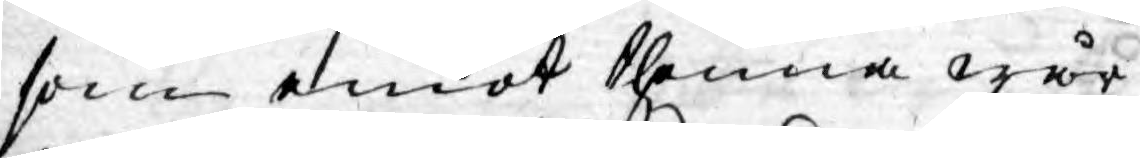som emot thenna wår
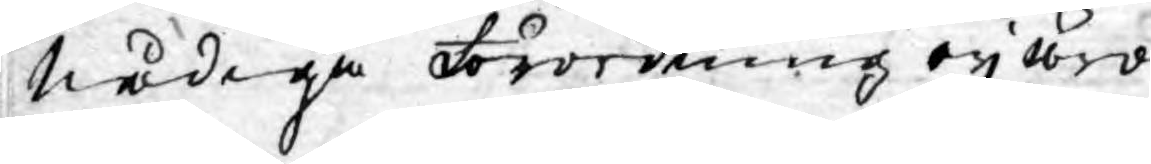Nådiga Förordning ey äro
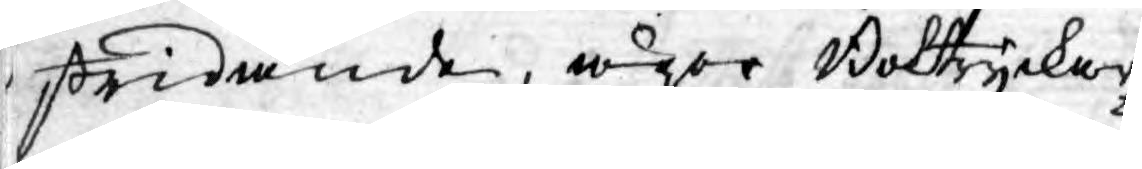stridande, äger Boktryckar¬
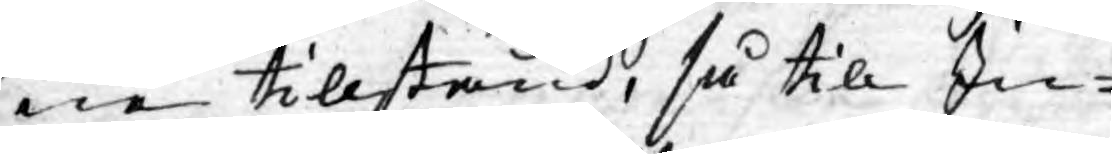ne tillstånd, så till In-
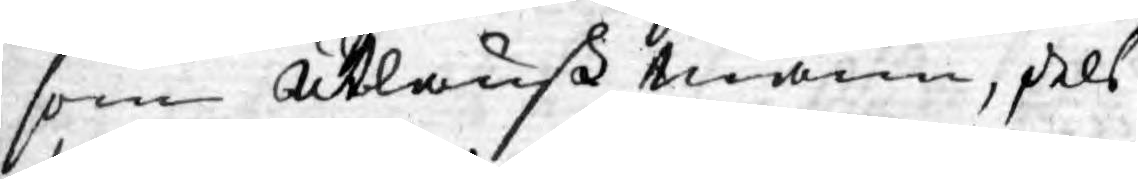som Utlänsk Mann, dels
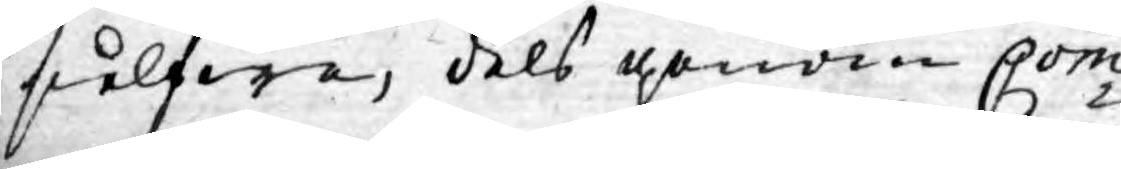sielfwa, dels genom Com¬
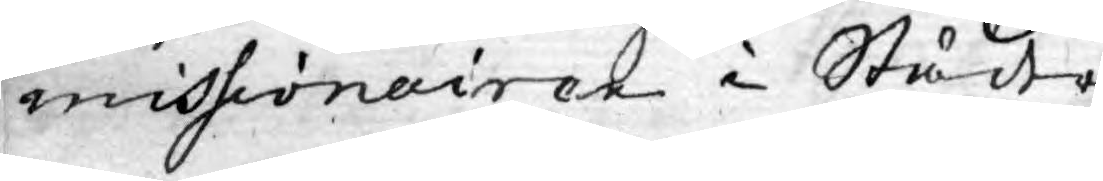missionairen i Städer¬
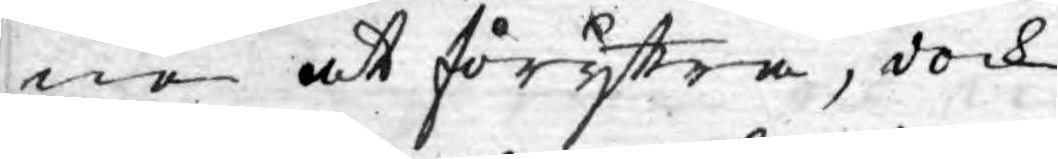ne at föryttra, dock
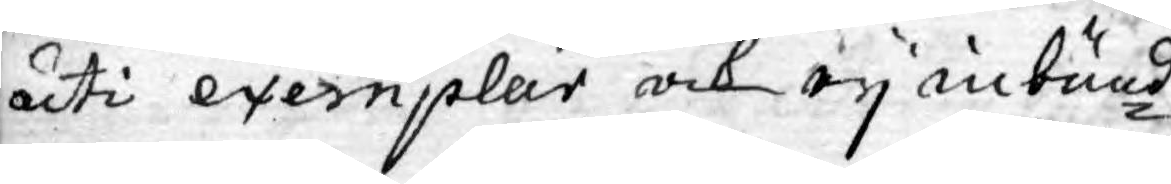uti exemplar och ey inbund¬
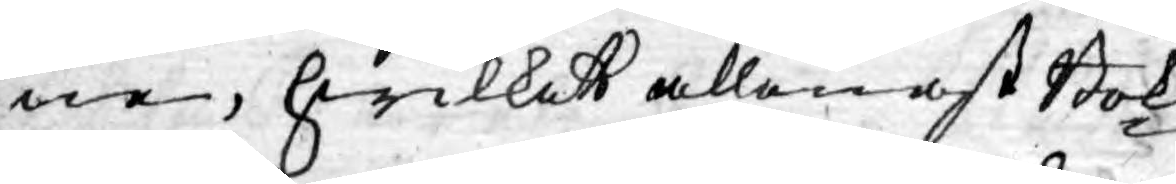ne, hwilket allenast Bok¬
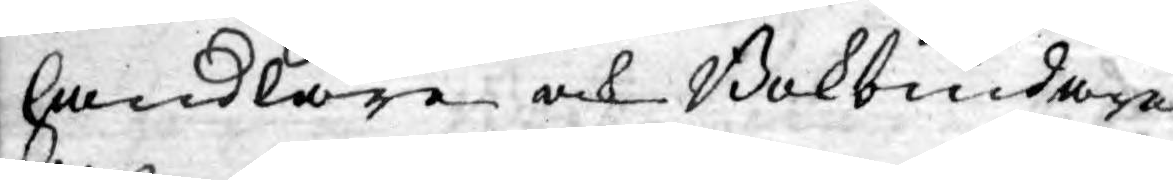handlare och Bokbindare
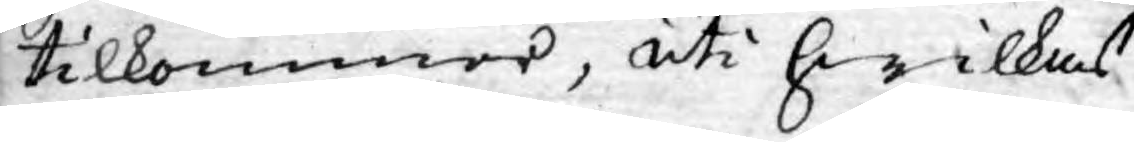tilkommer, uti hwilkas
